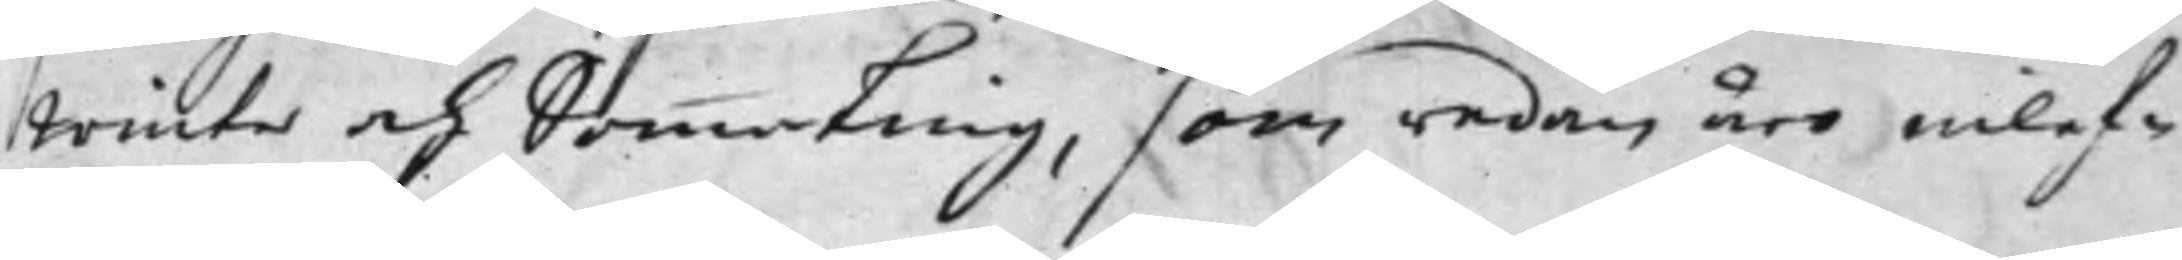Winter och Sommarting, som redan äro inlef¬
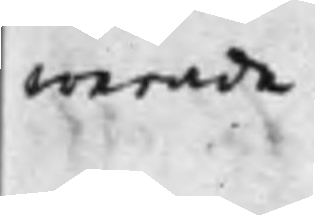werade.
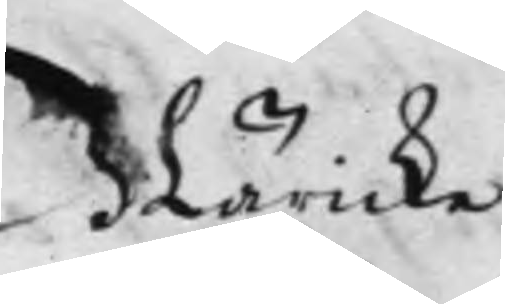Näricke.
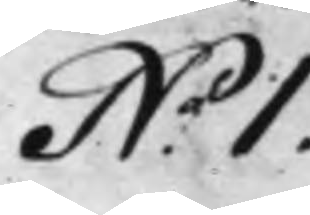N.o 1.
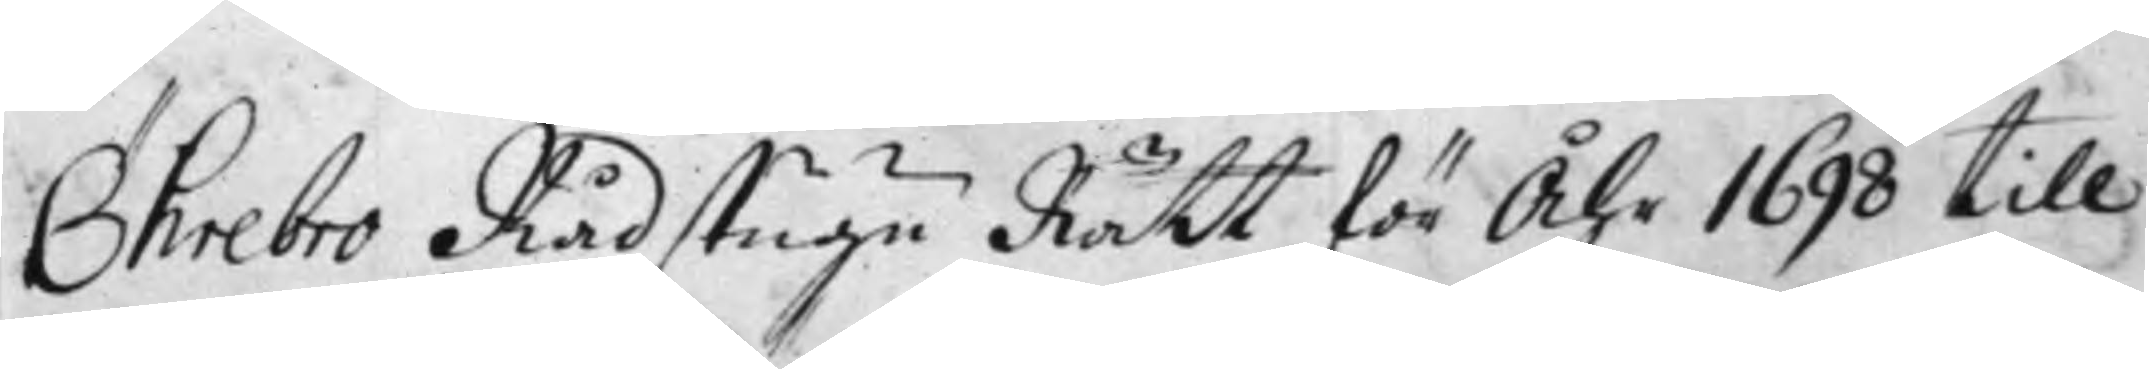Öhrebro Rådstugu Rätt för Åhr 1698 till
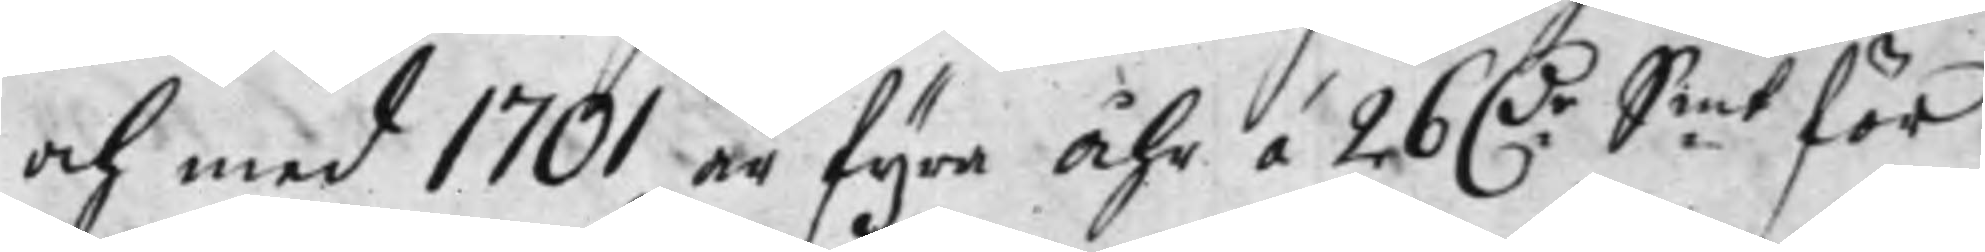och med 1701 är fyra Åhr á 26 D:r S:mt för
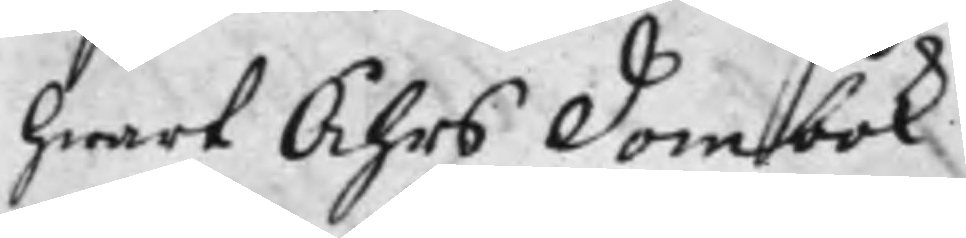hwart Åhrs Dombok
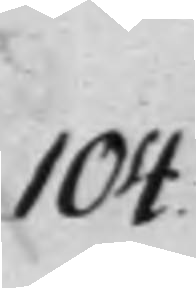104.
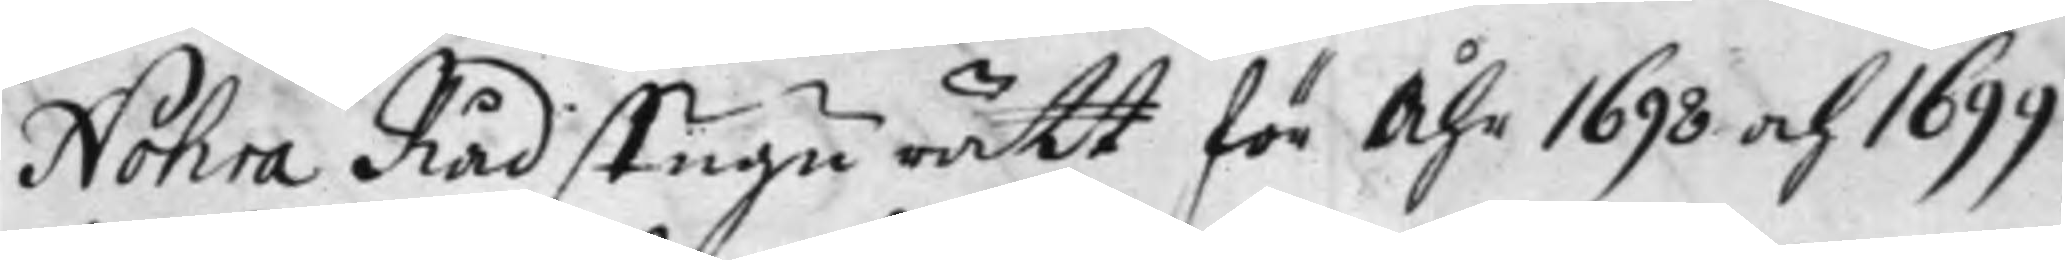Nohra Rådstugu rätt för Åhr 1698 och 1699
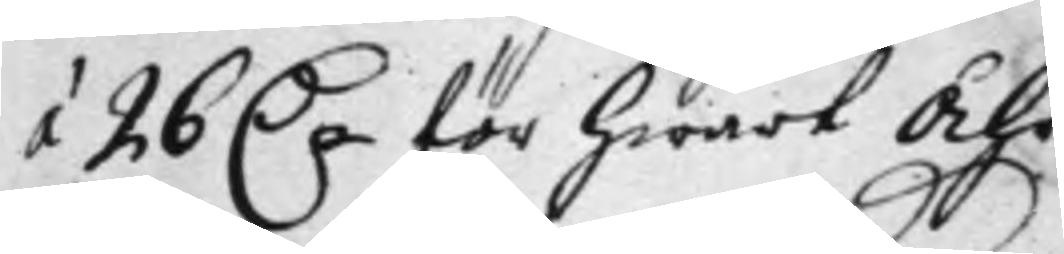á 26 D.r för hwart Åhr
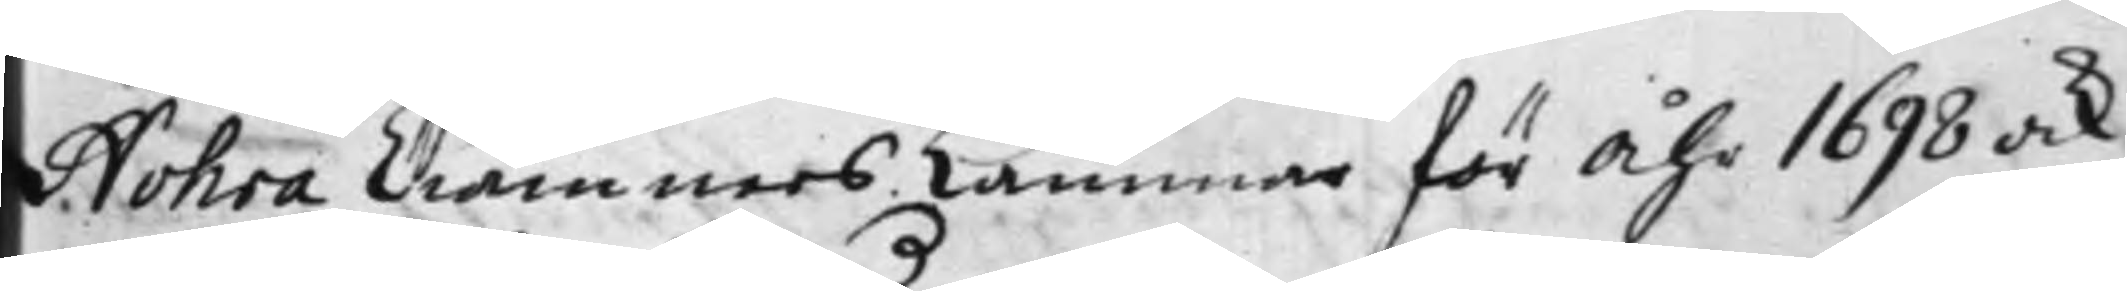Nohra Ciämners Kammar för Åhr 1698 ock
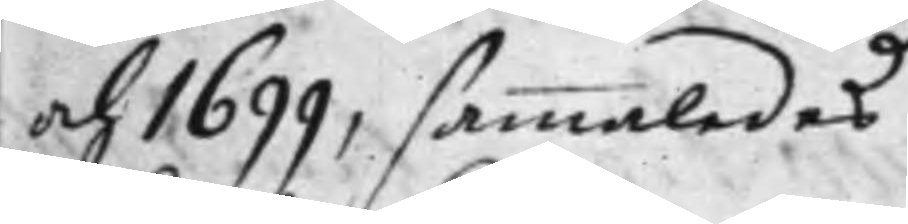och 1699, sammaledes
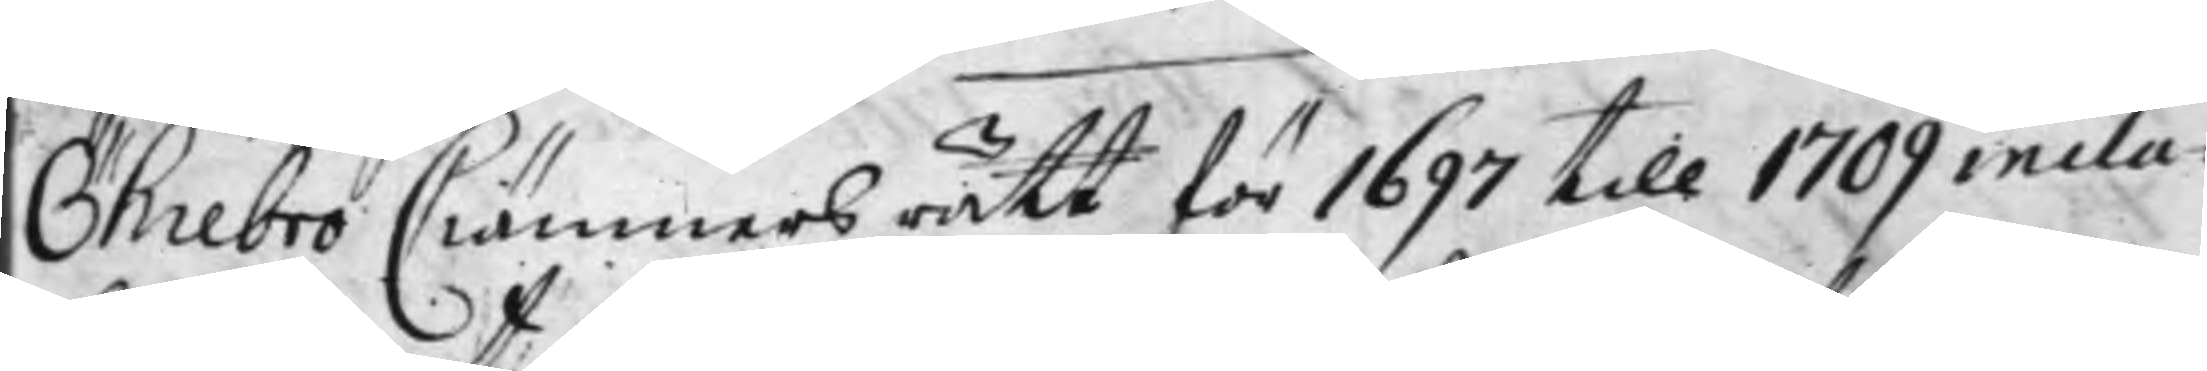Öhrebro Ciämners rätt för 1697 till 1709 inclu¬
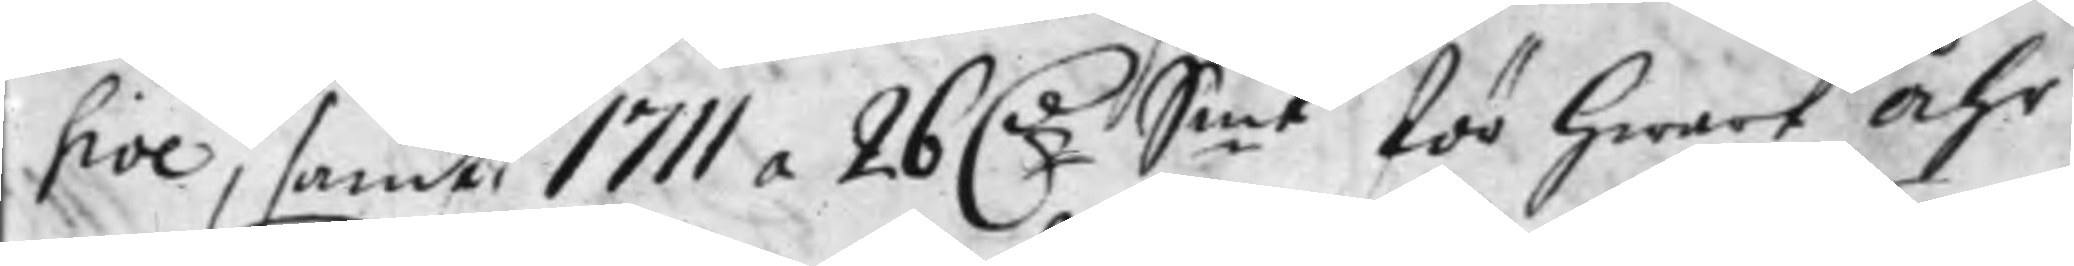sive, samt 1711 a 26 D:r S:mt för hwart Åhr
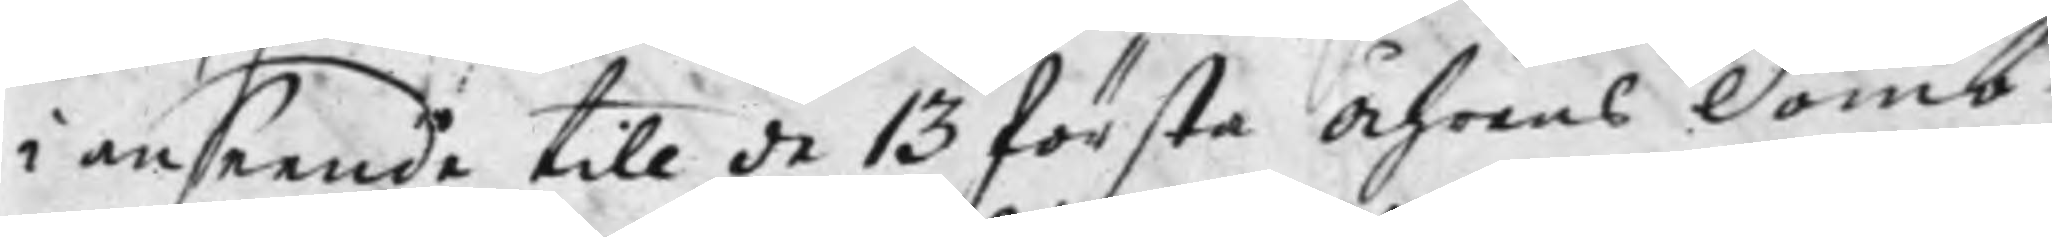i anseende till de 13 första Åhrens Domb¬
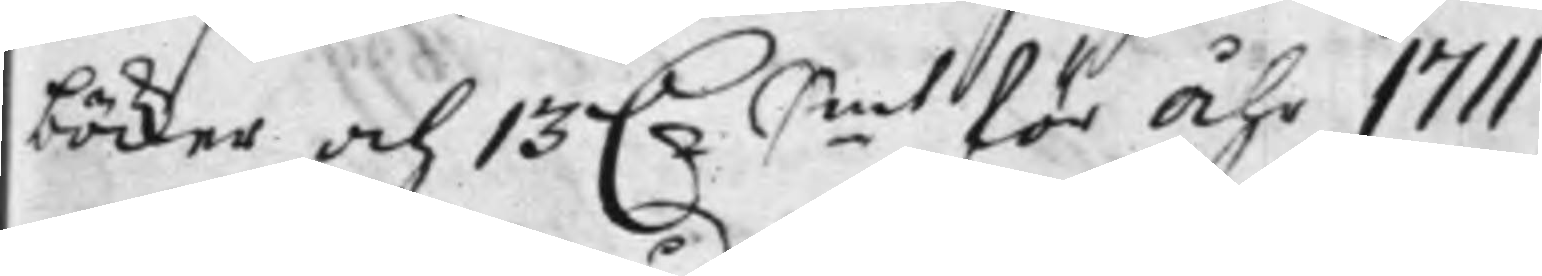böcker och 13 D.r S.mt för Åhr 1711
